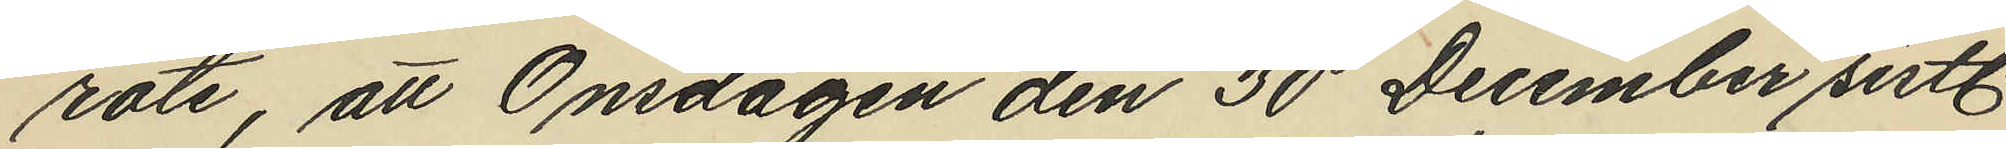rote, att Onsdagen den 30 December sistl.
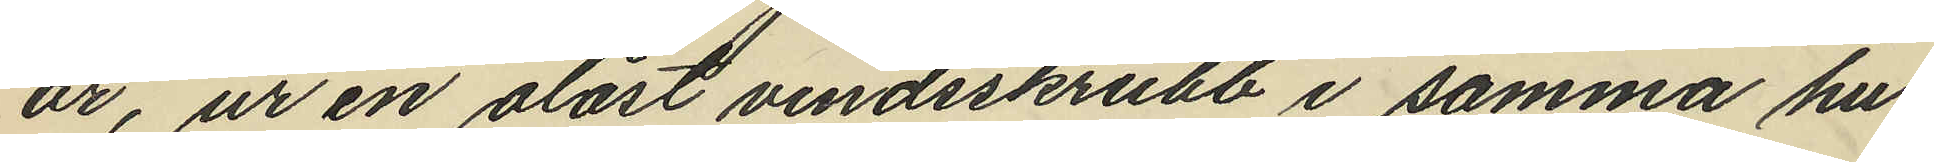år, ur en olåst vindsskrubb i samma hus
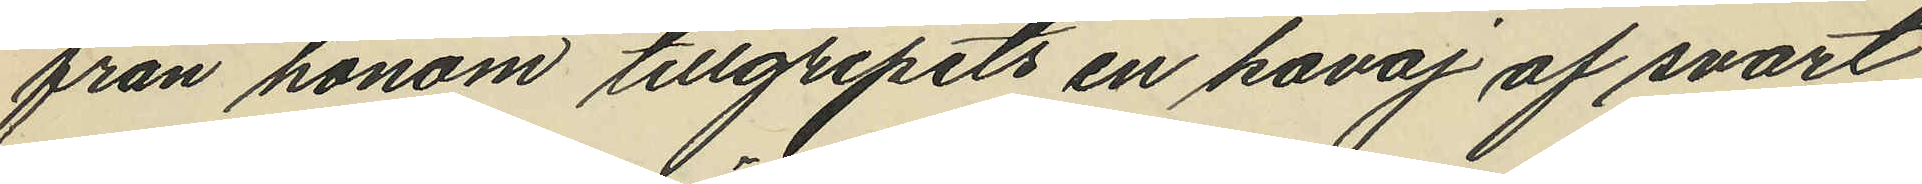från honom tillgripits en kavaj af svart
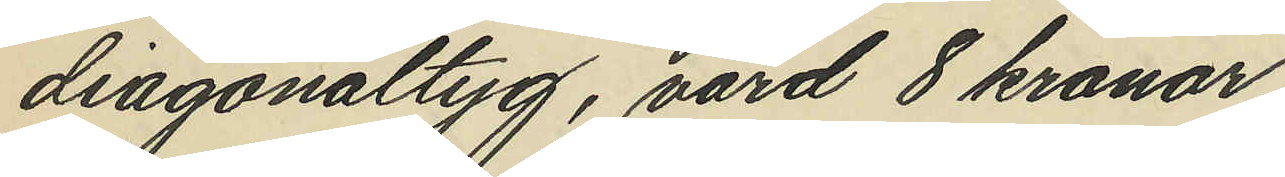diagonaltyg, värd 8 kronor.
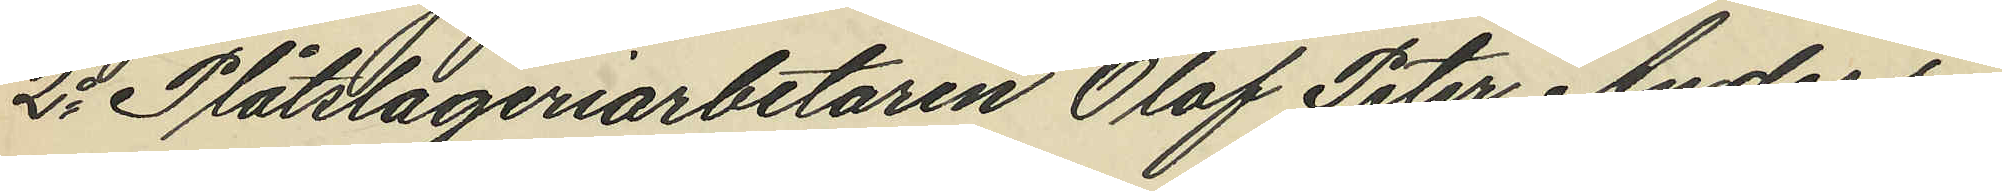2o Plåtslageriarbetaren Olof Peter Anders¬
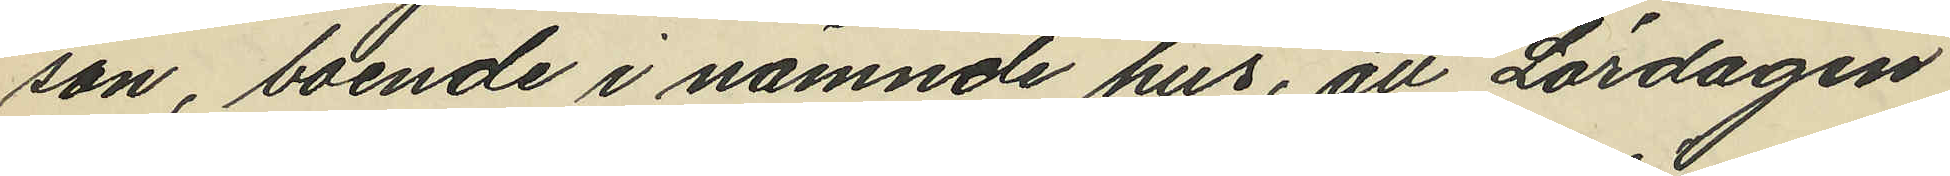son, boende i nämnde hus, att Lördagen
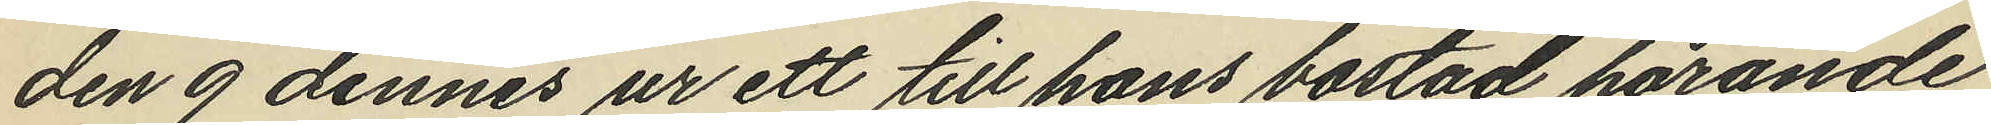den 9 dennes ur ett till hans bostad hörande
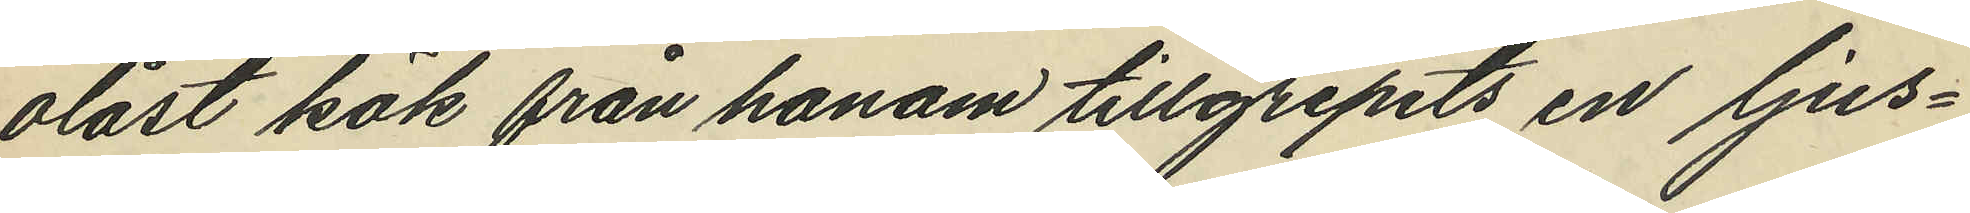olåst kök från honom tillgripits en ljus¬
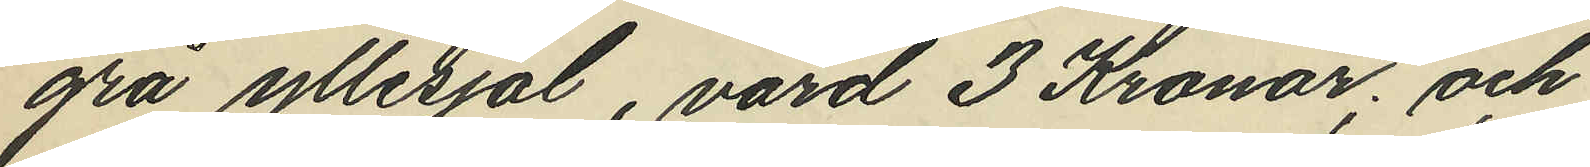grå yllesjal, värd 3 Kronor; och
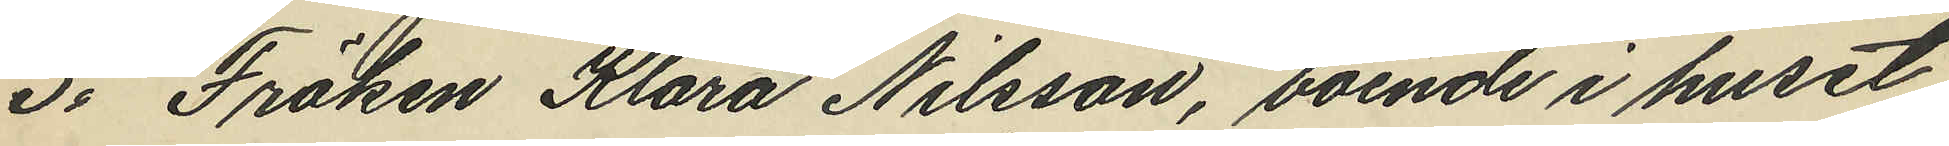3o Fröken Klara Nilsson, boende i huset
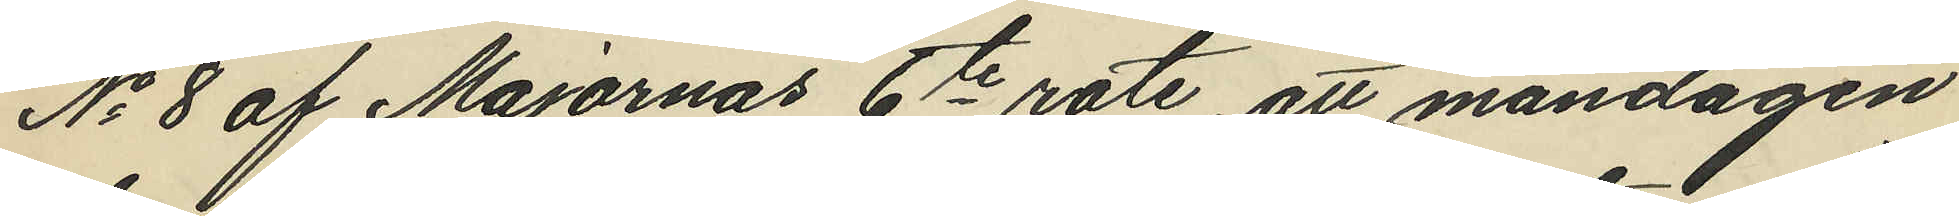No 8 af Majornas 6te rote, att måndagen
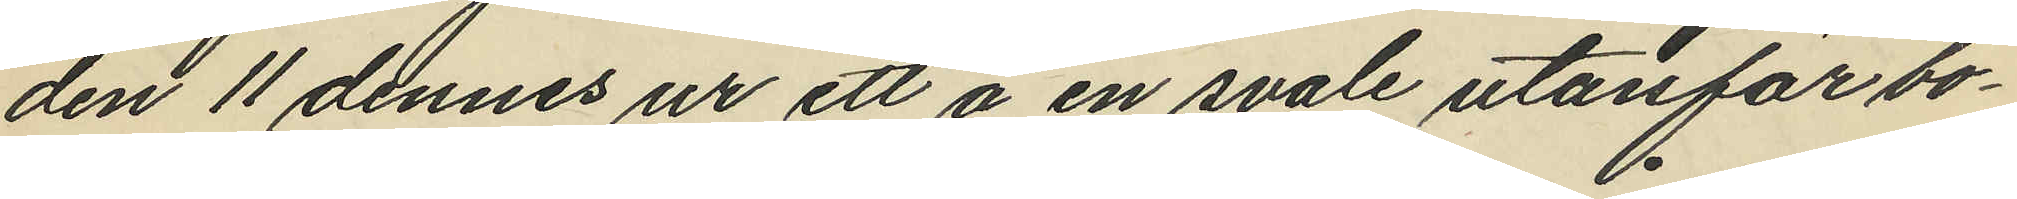den 11 dennes ur ett å en svale utanför bo¬
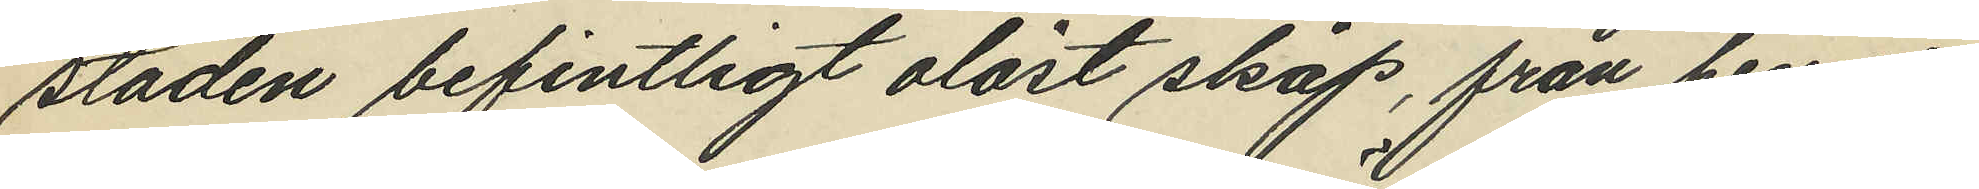staden befintligt olåst skåp, från henne
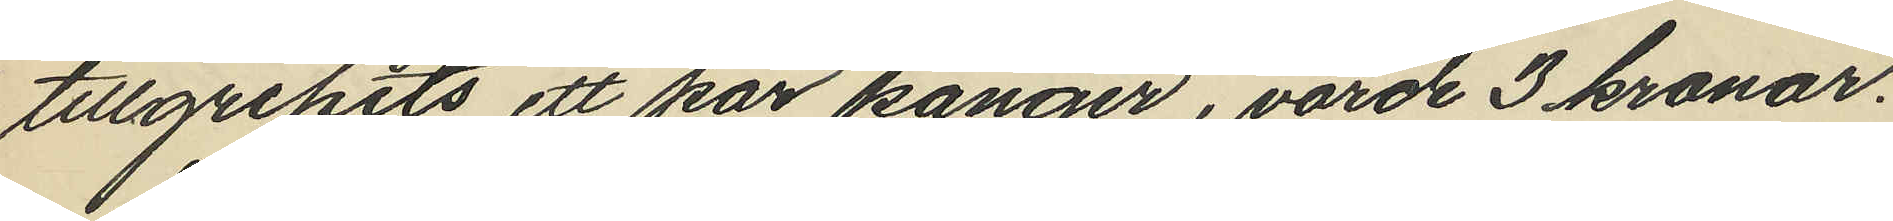tillgripits ett par känger, värde 3 kronor.
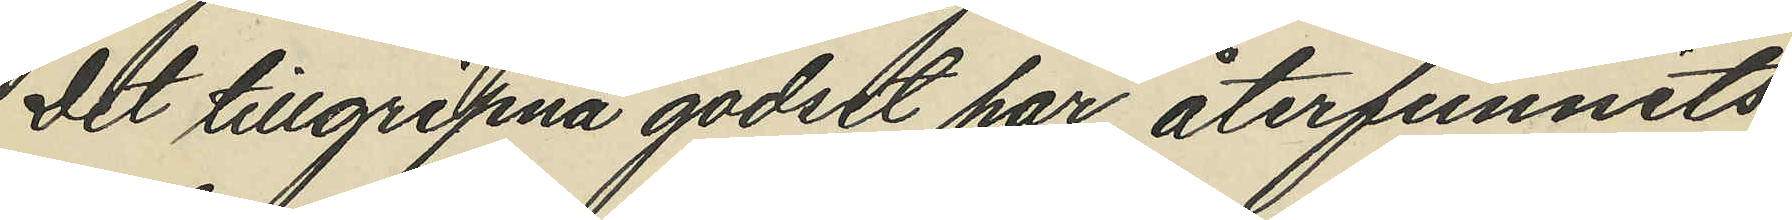Det tillgripna godset har återfunnits
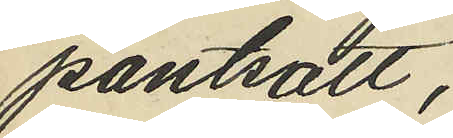pantsatt,
